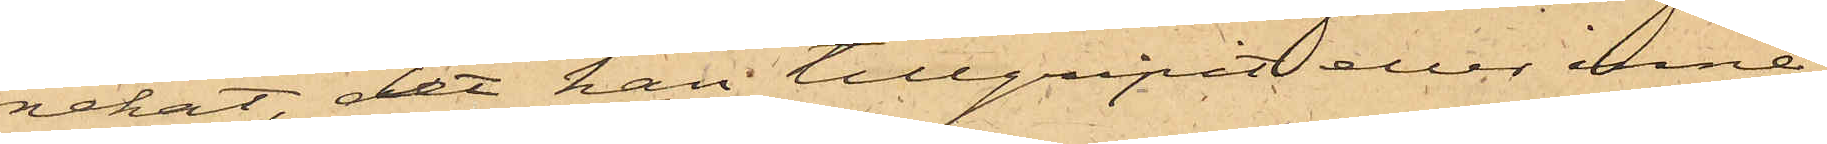nekat, det han tillgripit eller inne¬
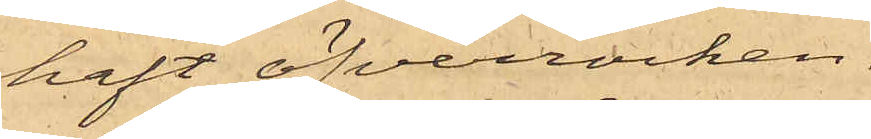haft öfverrocken.
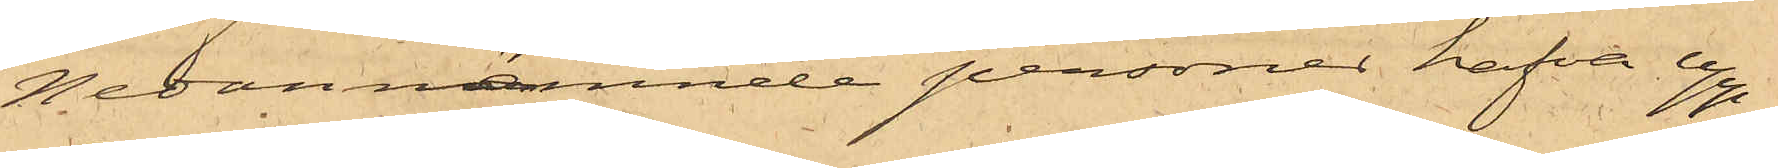Nedannämnde personer hafva upp¬
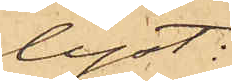lyst:
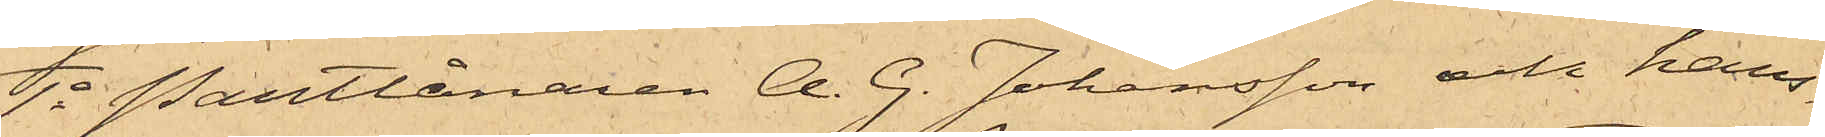1o Pantlånaren A. G. Johansson och hans
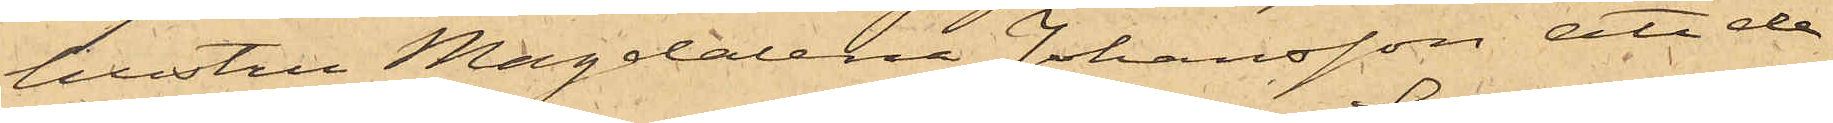hustru Magdalena Johansson, att de
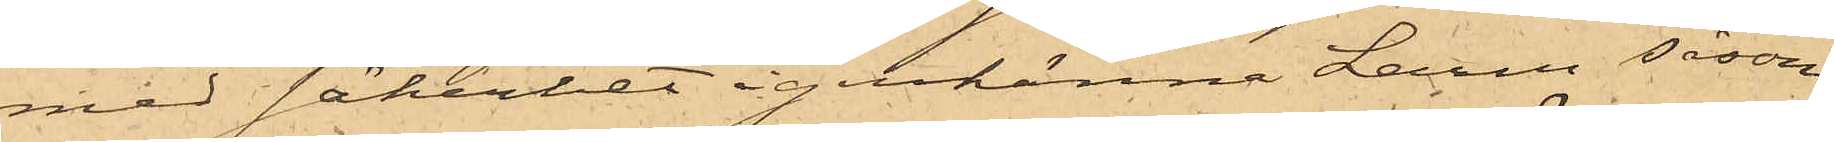med säkerhet igenkänna Larm såsom
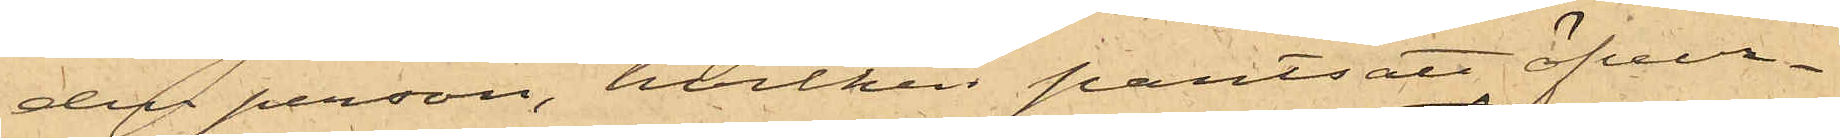den person, hvilken pantsatt öfver¬
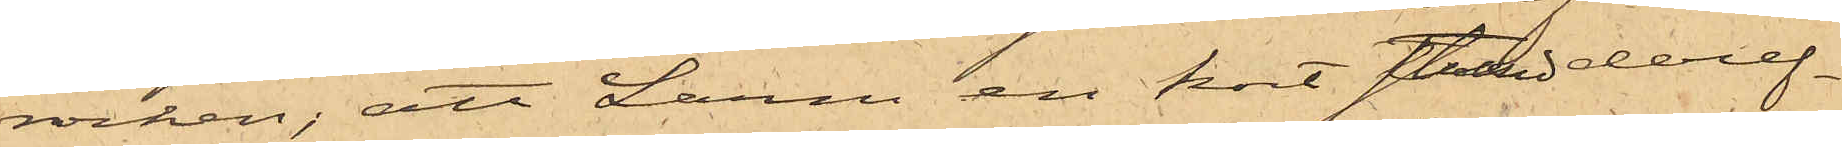rocken; att Larm en kort stund deref¬
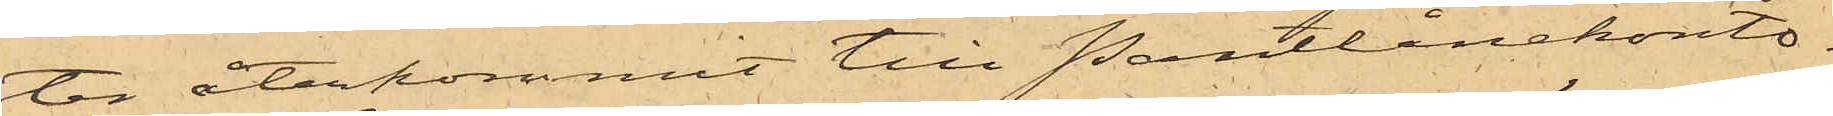ter återkommit till Pantlånekonto¬
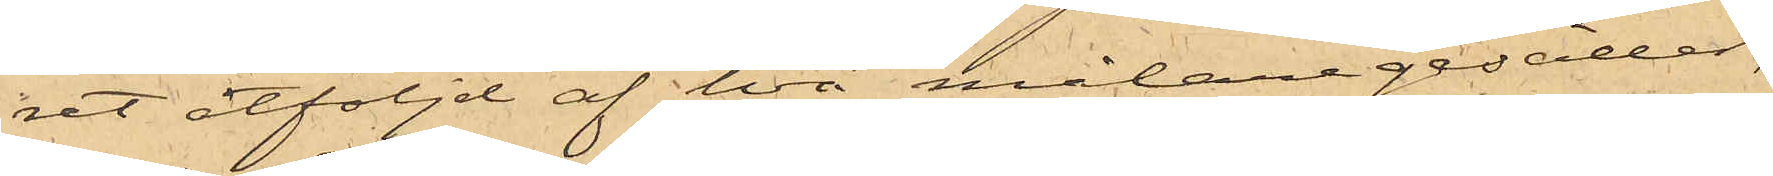ret åtföljd af två målaregesäller,
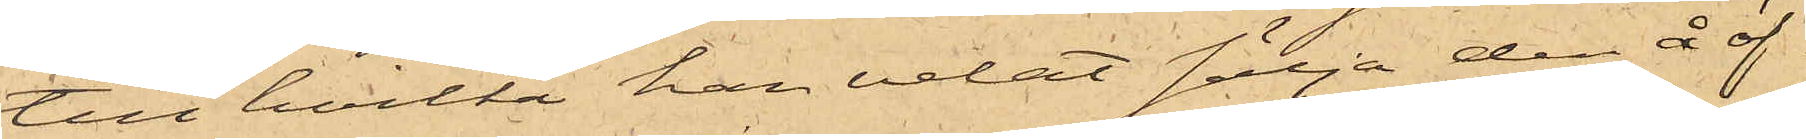till hvilka han velat sälja den å öf¬
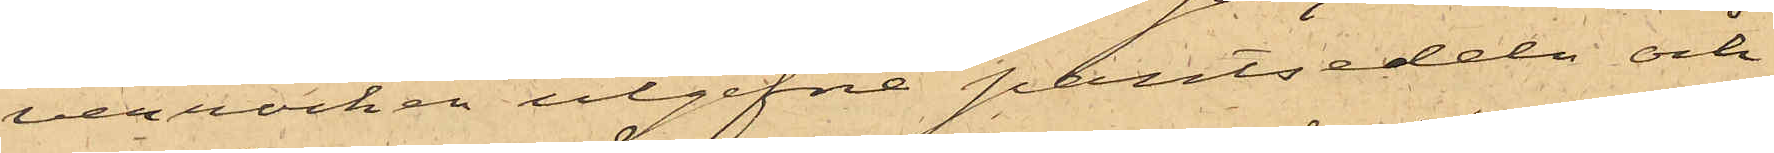verrocken utgifne pantsedeln och
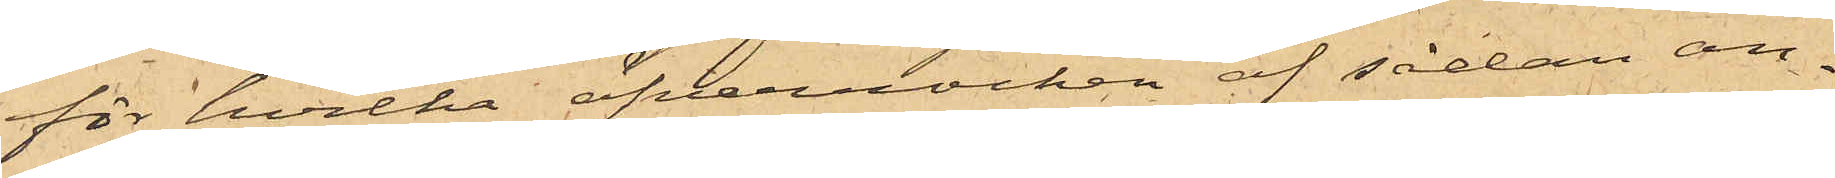för hvilka öfverrocken af sådan an¬
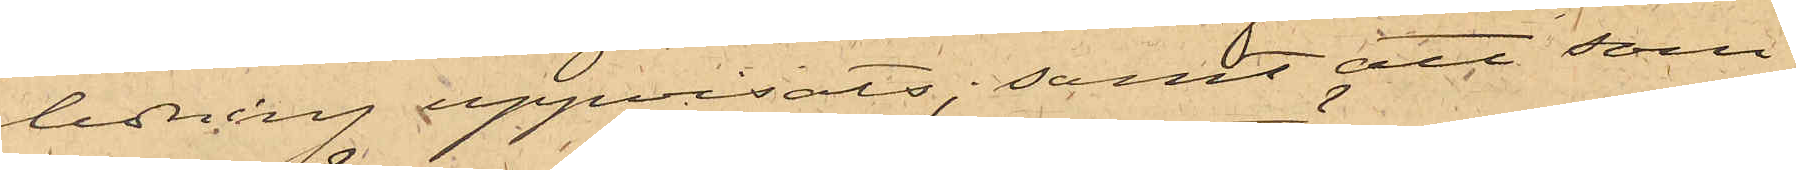ledning uppvisats; samt att som
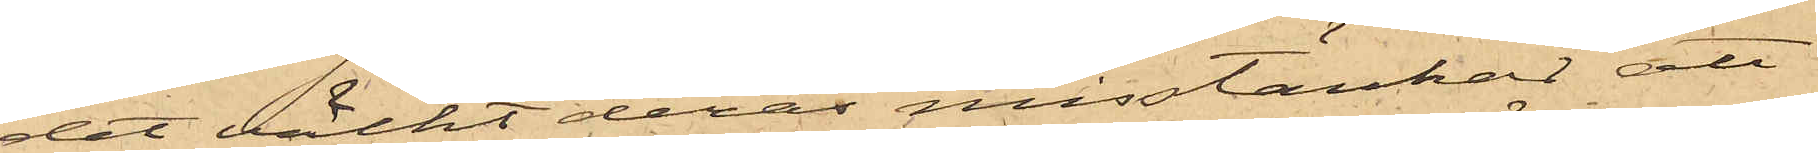det väckt deras misstänkar att
